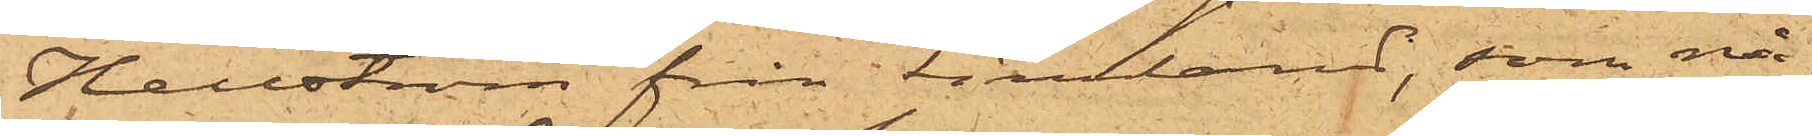Hellström från Finland, som nå¬
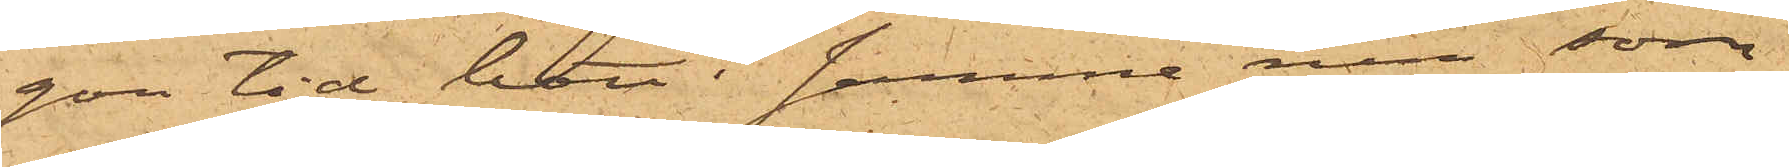gon tid bott i samme rum som
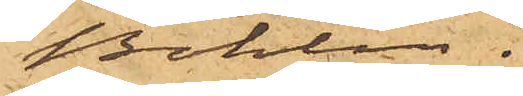Bohlin.
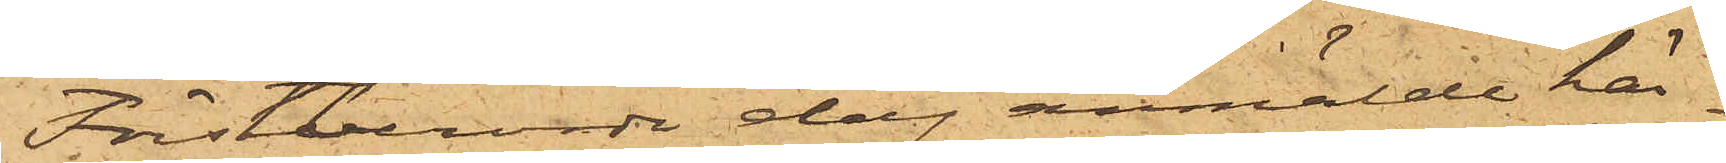Förstberörde dag anmälde här¬
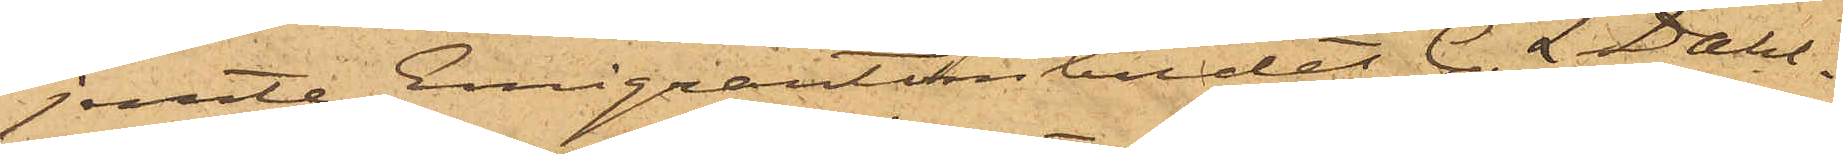jemte Emigrantombudet C. L. Dahl¬
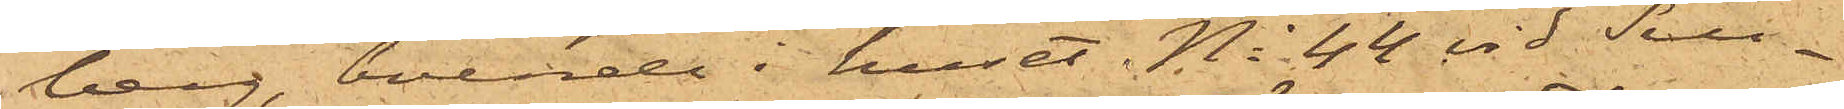berg, boende i huset No 44 vid Sill¬
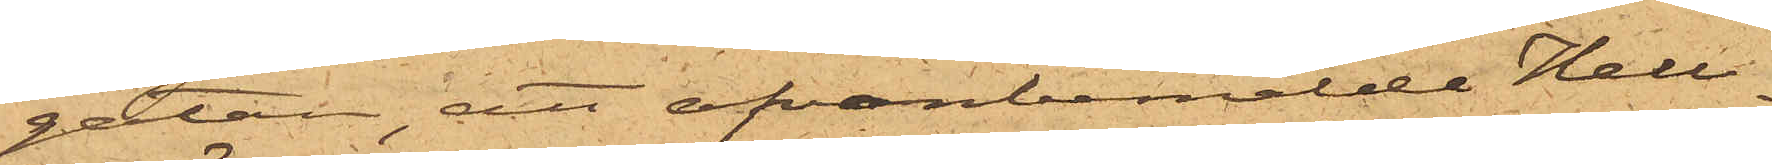gatan, att ofvanbemälde Hell¬
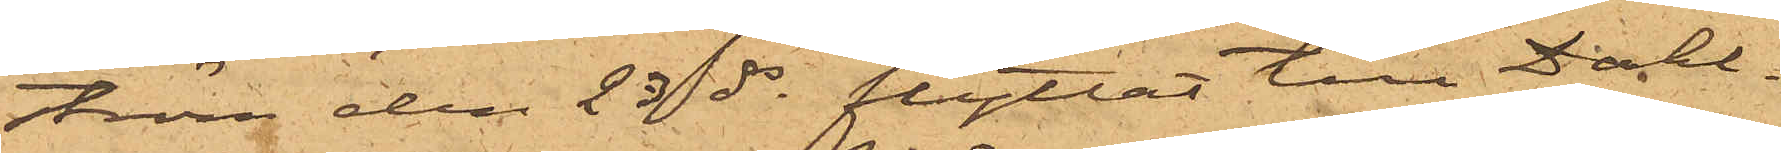ström den 23 ds flyttat till Dahl¬
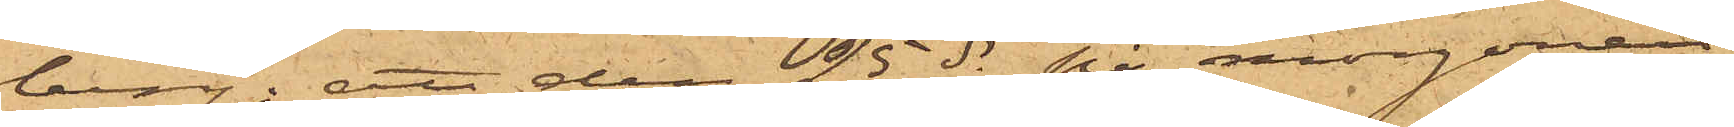berg; att den 25 ds på morgonen
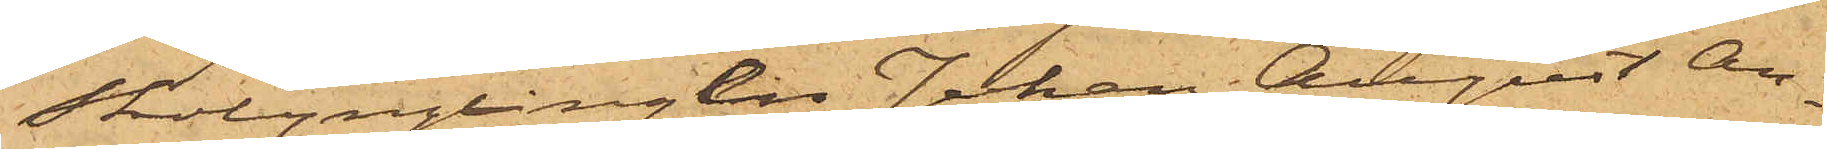Skolynglingen Johan August An¬
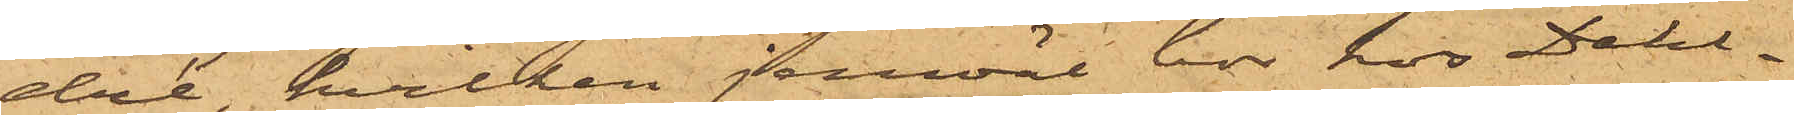dré, hvilken jemväl bor hos Dahl¬
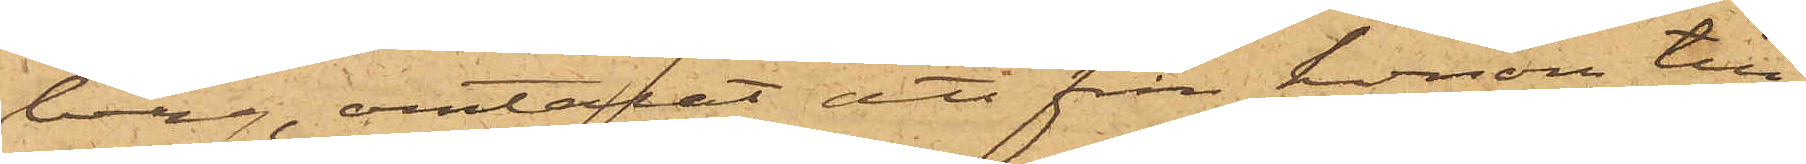berg, omtalat att från honom till¬
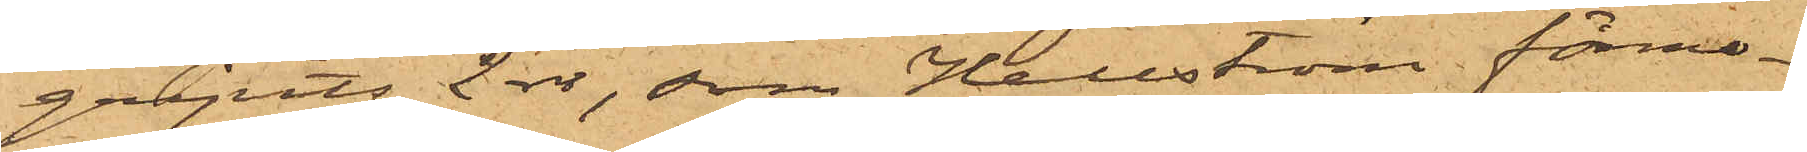gripits 2 rdr, som Hellström förmo¬
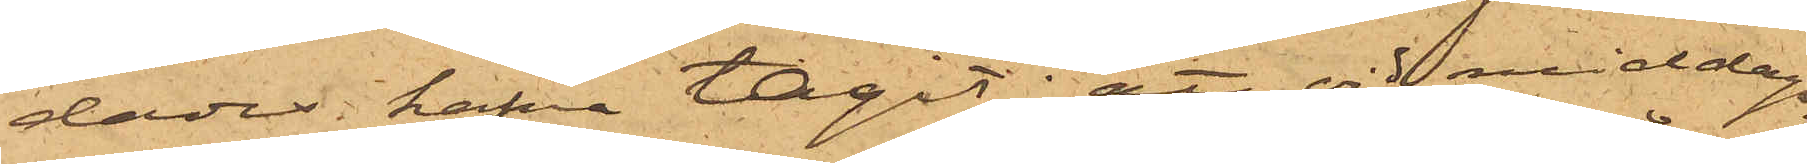dades hafva tagit; att vid middags¬
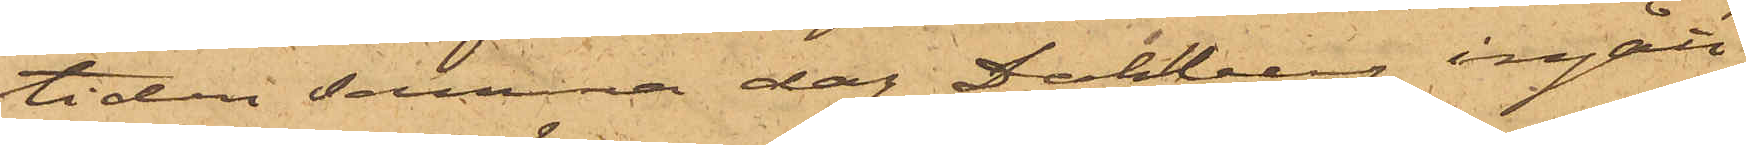tiden samma dag Dahlberg ingått
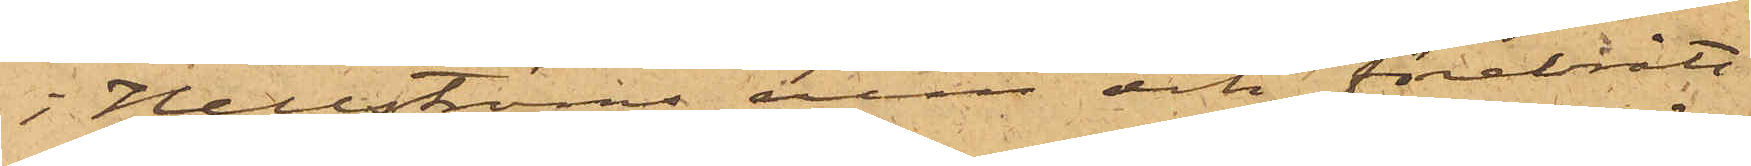i Hellströms rum och förebrått
